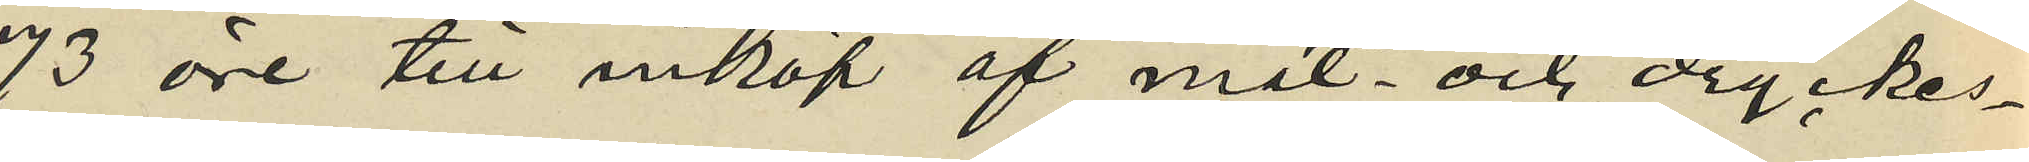73 öre till inköp af mat- och dryckes¬
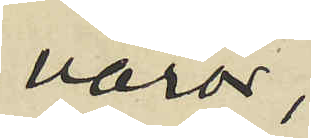varor;
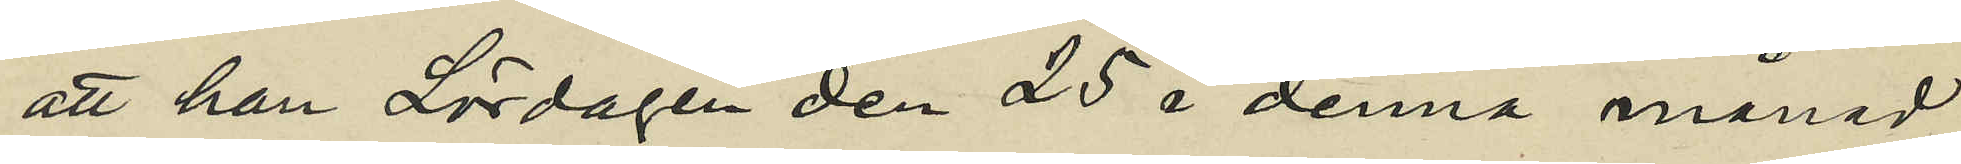att han Lördagen den 25 i denna månad
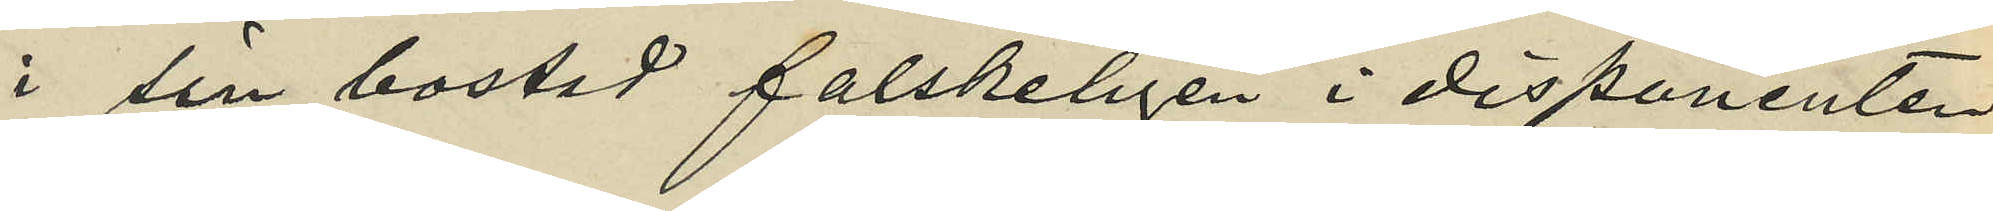i sin bostad falskeligen i disponenten
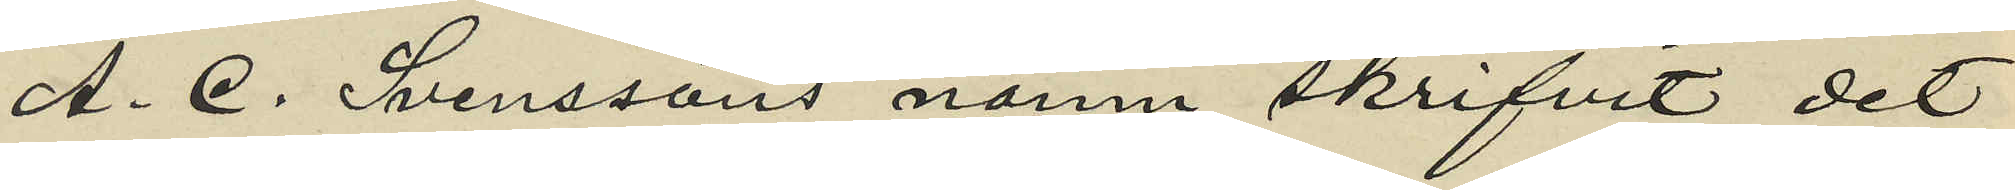A. E. Svenssons namn skrifvit det
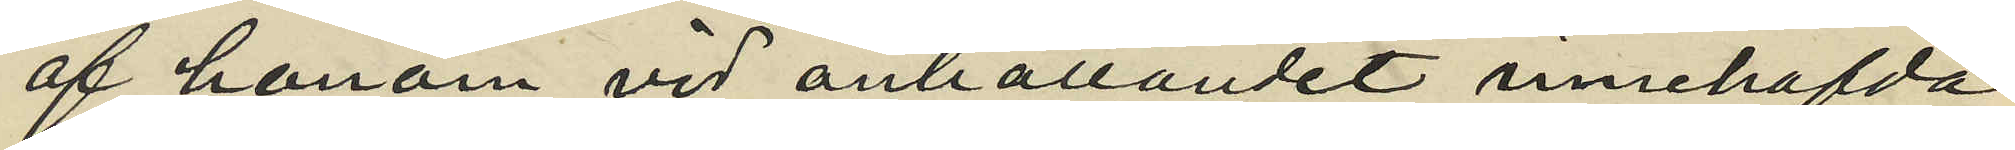af honom vid anhållandet innehafda
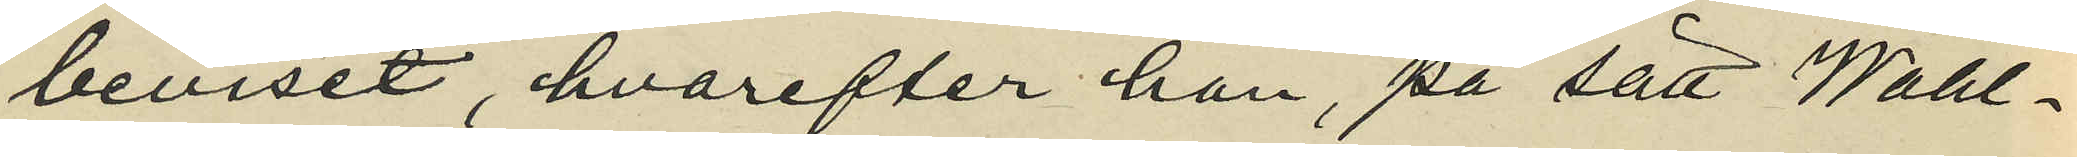beviset, hvarefter han, på sätt Wahl¬
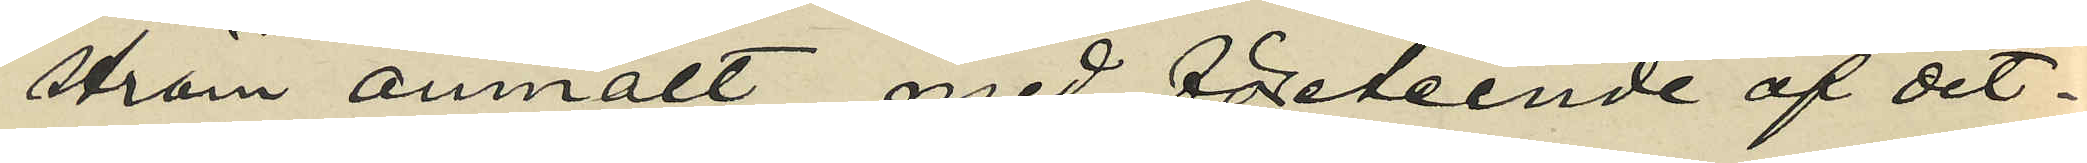ström anmält med företeende af det¬
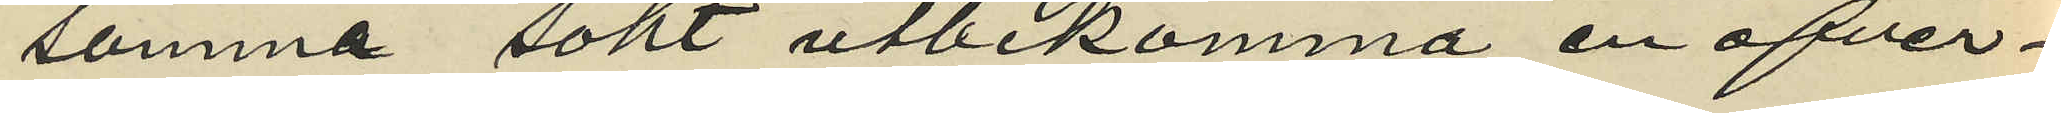samma sökt utbekomma en öfver¬
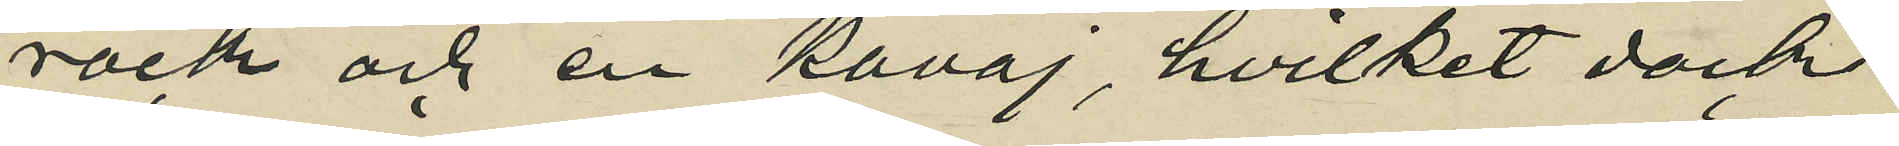rock och en kavaj, hvilket dock
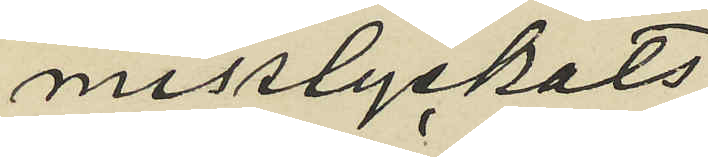misslyckats.
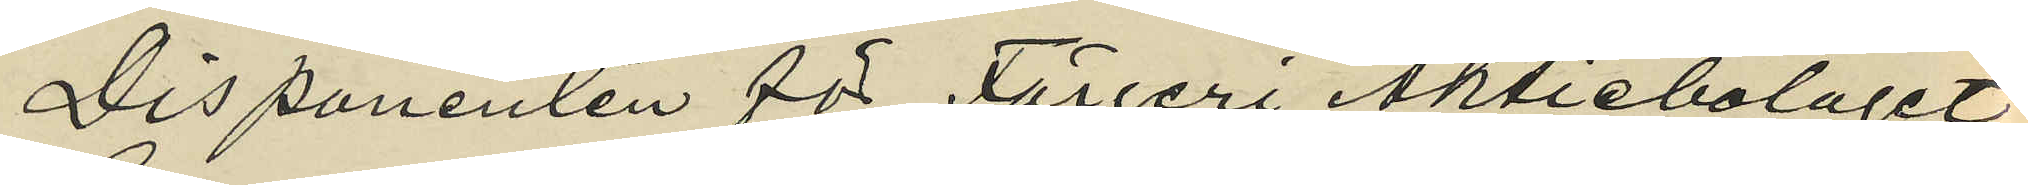Disponenten för Färgeri Aktiebolaget
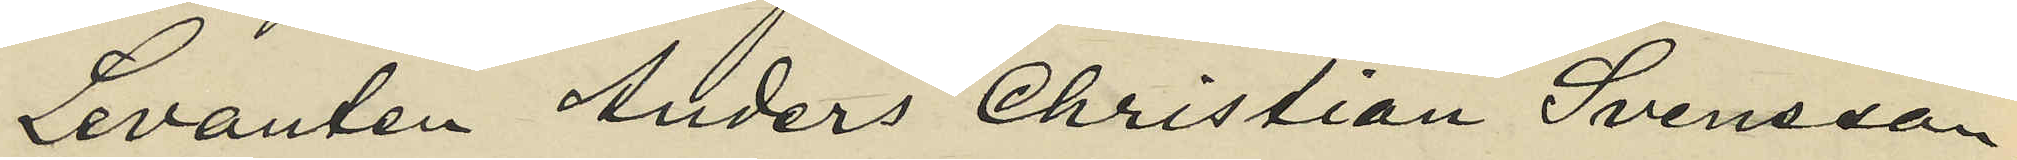Levanten Anders Christian Svensson,
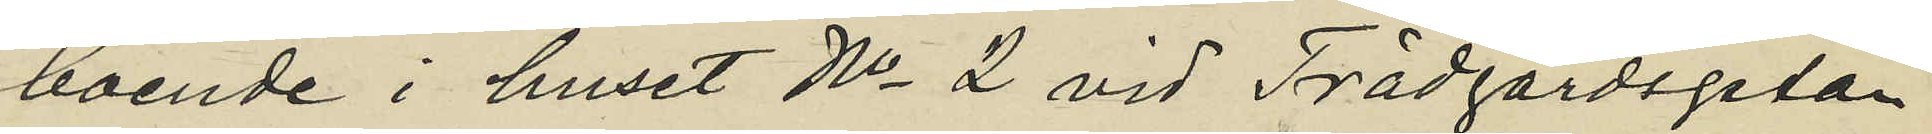boende i huset No 2 vid Trädgårdsgatan
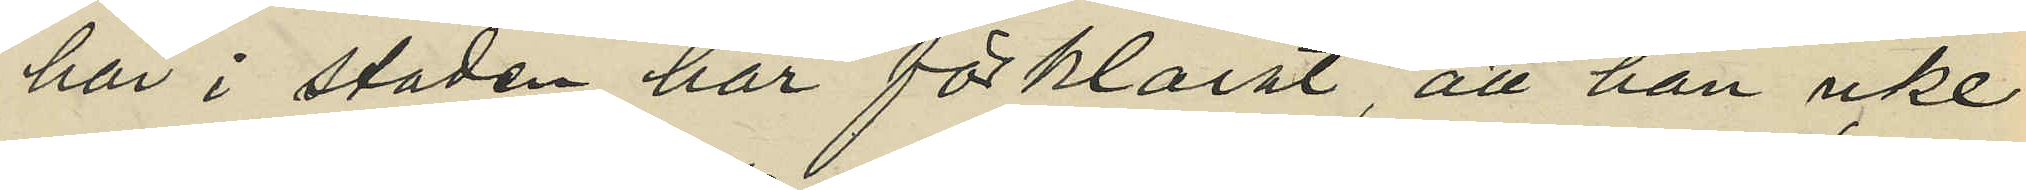här i staden, har förklarat, att han icke
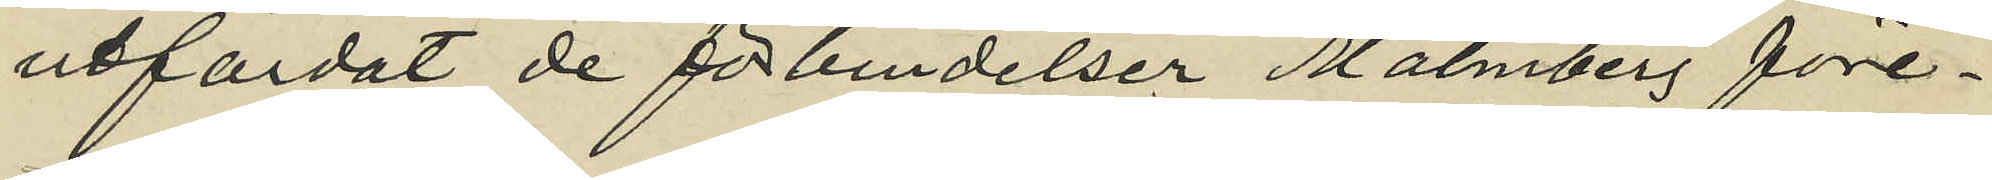utfärdat de förbindelser Malmberg före¬
